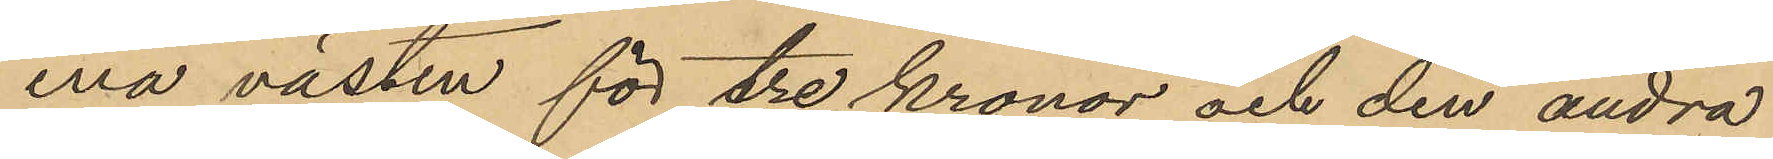ena västen för tre kronor och den andra
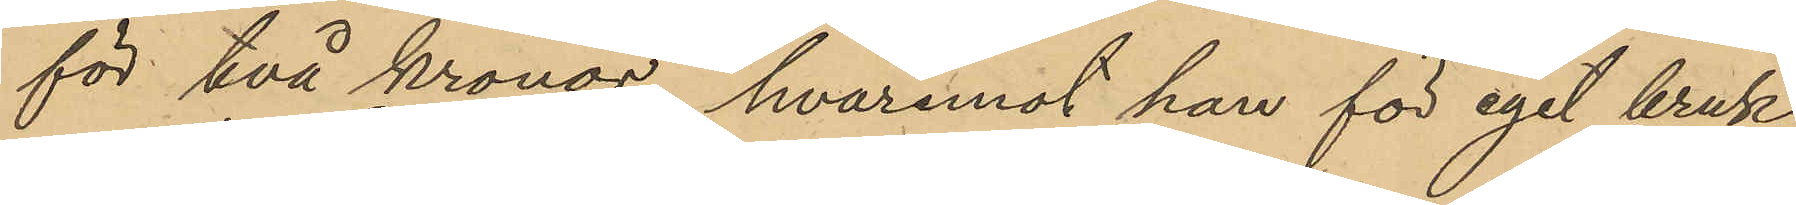för två kronor, hvaremot han för eget bruk
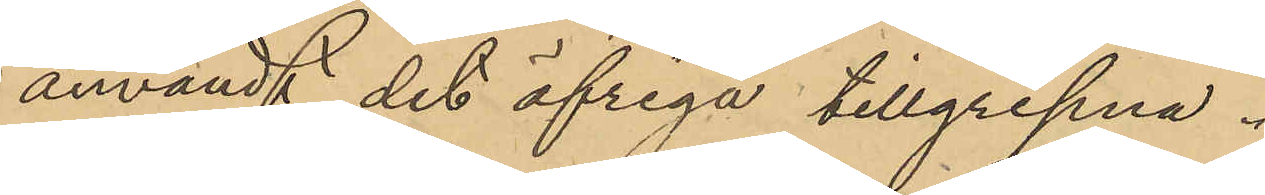användt det öfriga tillgripna.
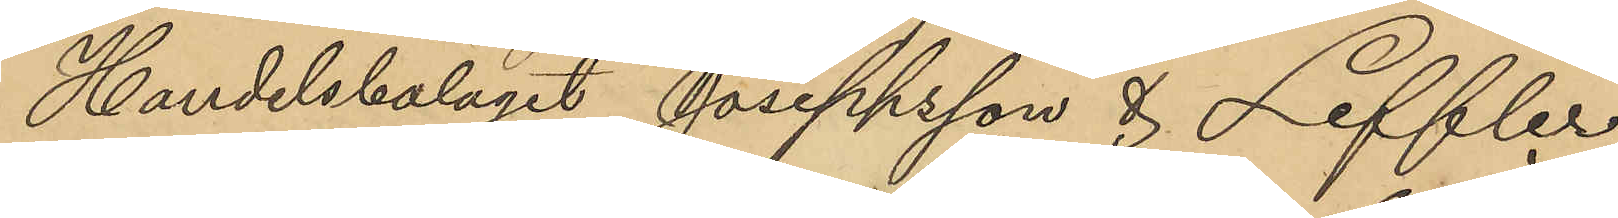Handelsbolaget Joseppsson & Leffler
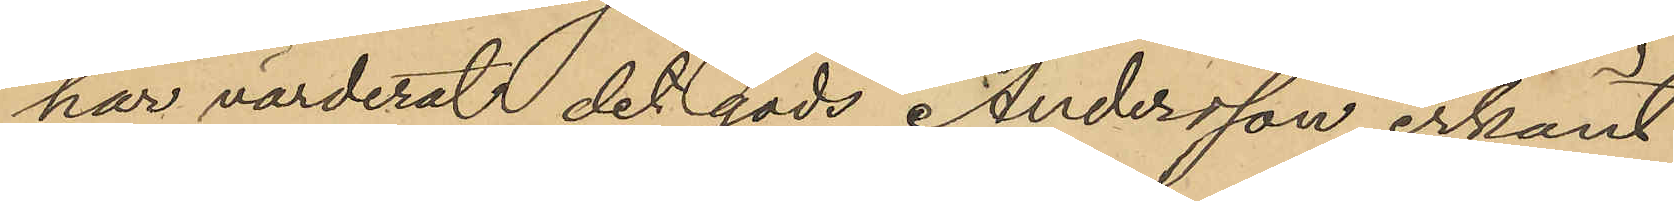har värderat det gods Andersson erkänt
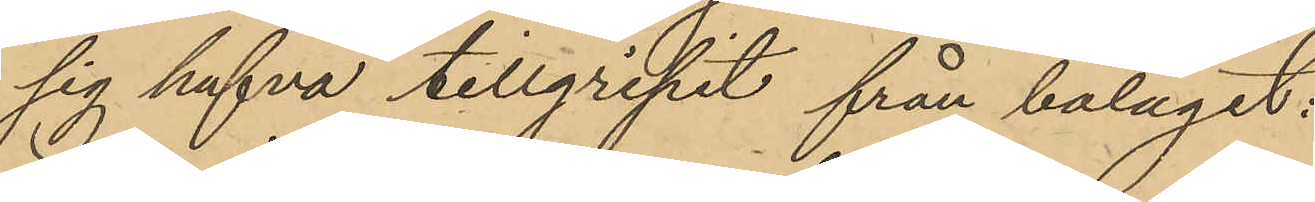sig hafva tillgripit från bolaget:
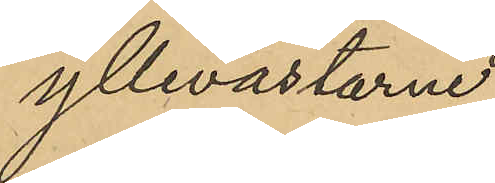yllevästarne
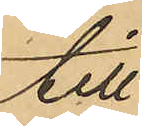till
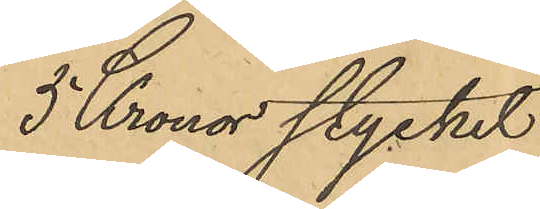5 Kronor stycket
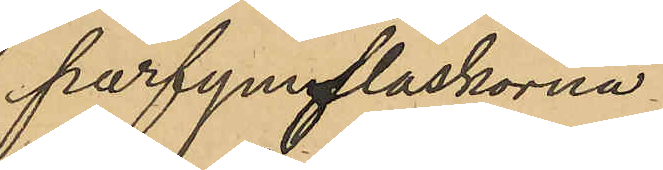parfymflaskorna
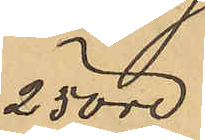25 öre
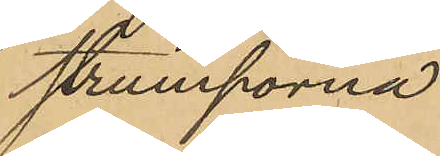strumporna
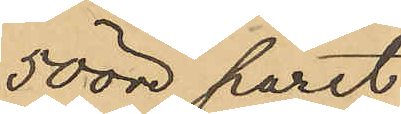50 öre paret
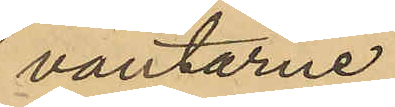vantarne
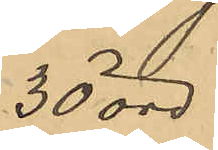30 öre
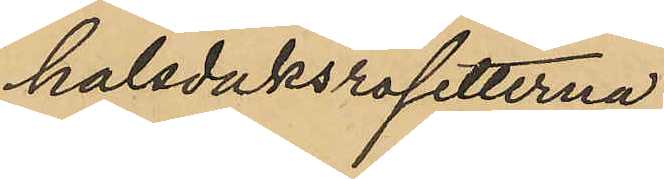halsduksrosetterna
